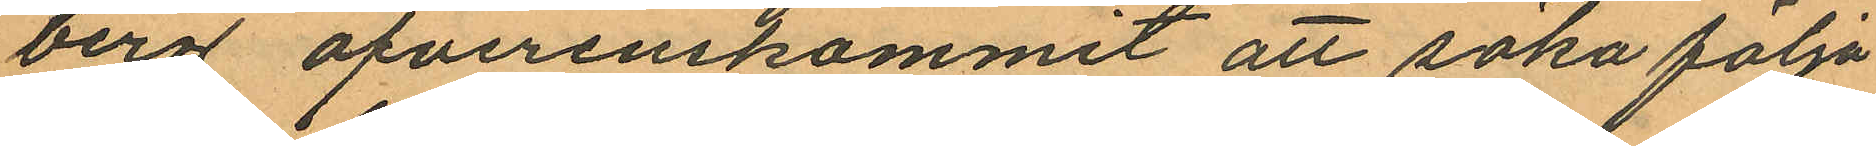berg öfverenskommit att söka följa
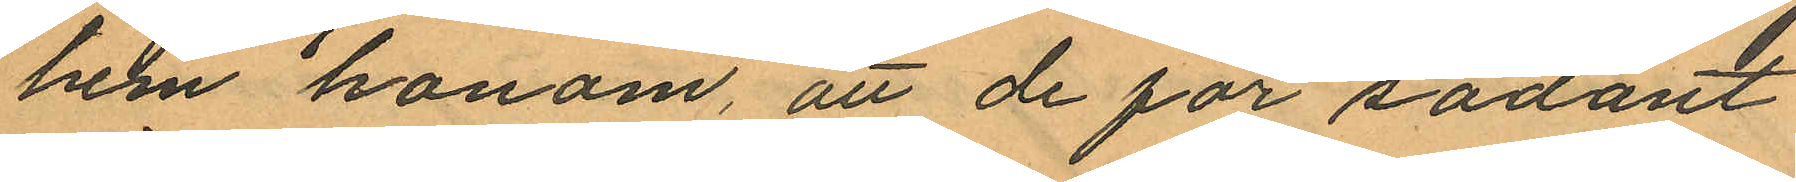hem honom, att de för sådant
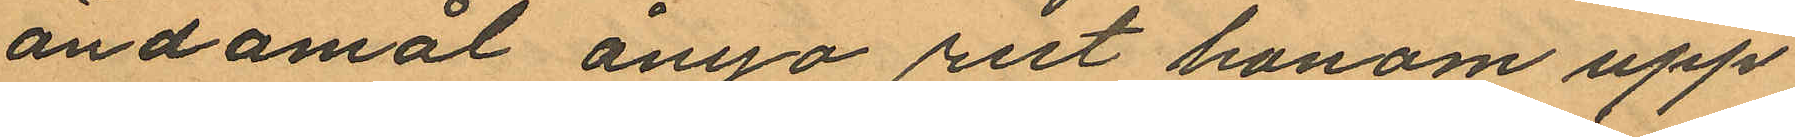ändamål ånyo rest honom upp
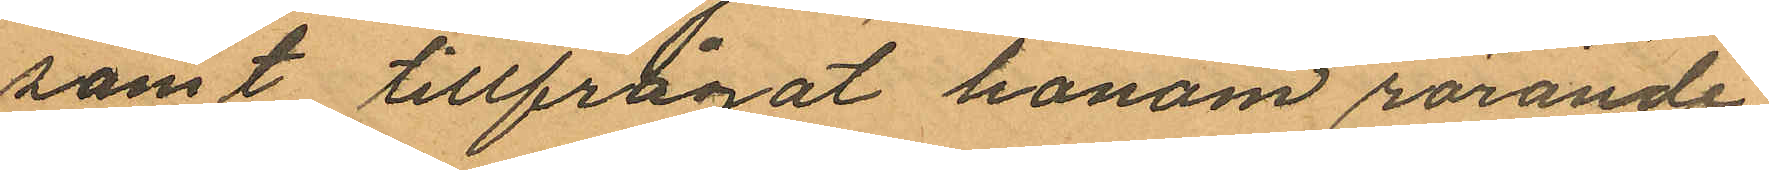samt tillfrågat honom rörande
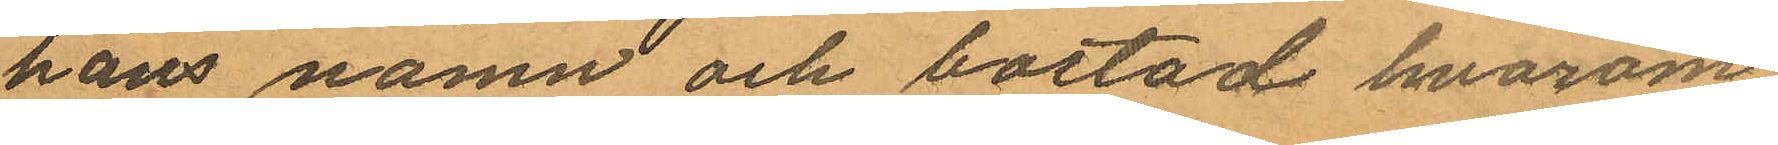hans namn och bostad hvarom
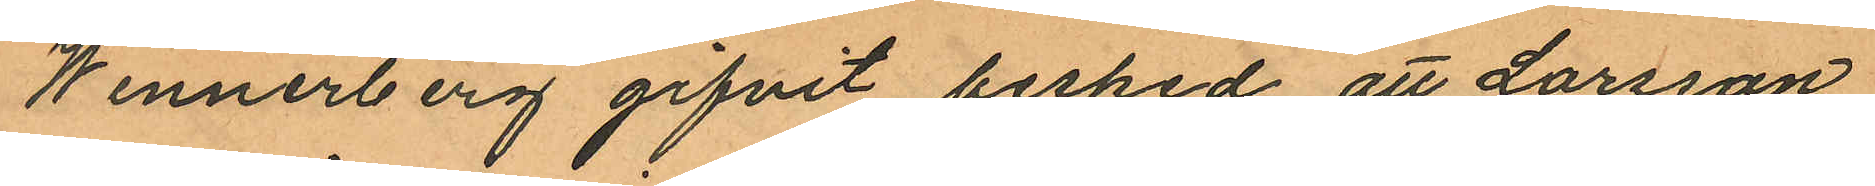Winnerberg gifvit besked, att Larsson,
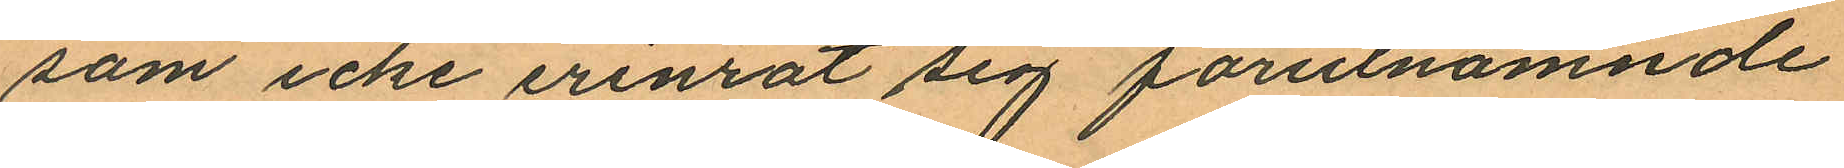som icke erinrat sig förutnämnde
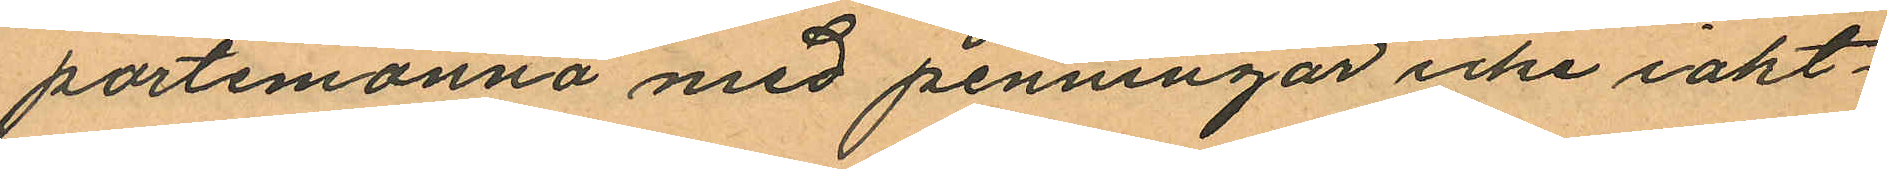portemonnä med penningar icke iakt¬
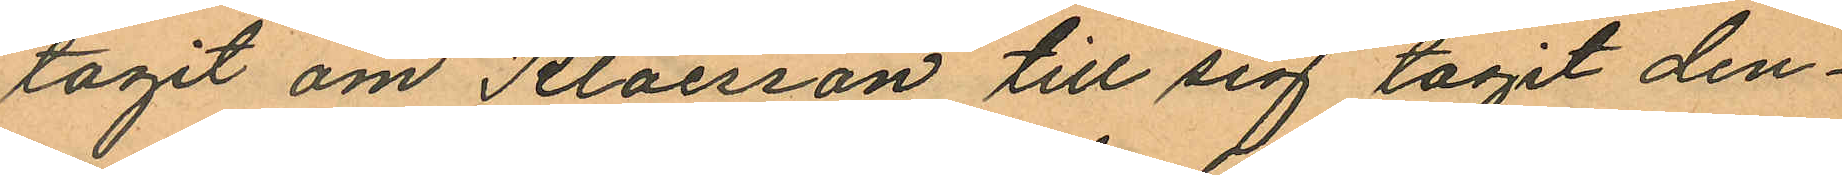tagit om Klaesson till sig tagit den¬
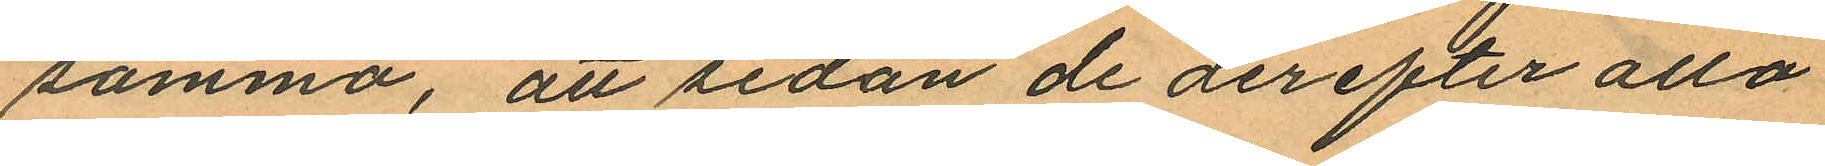samma, att sedan de derefter alla
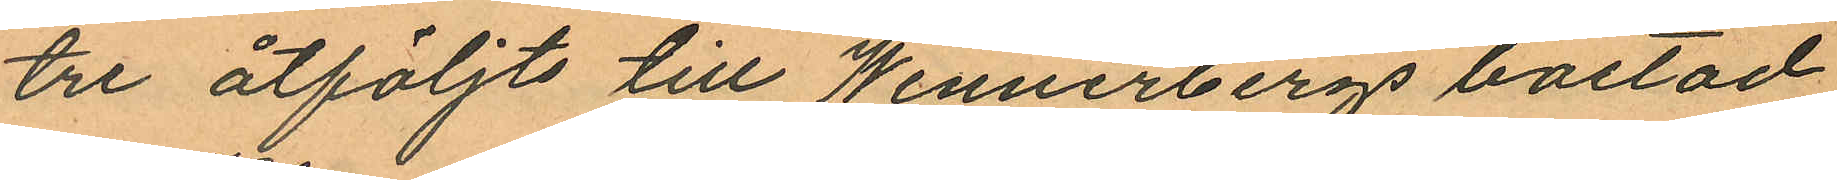tre åtföljts till Wennerbergs bostad
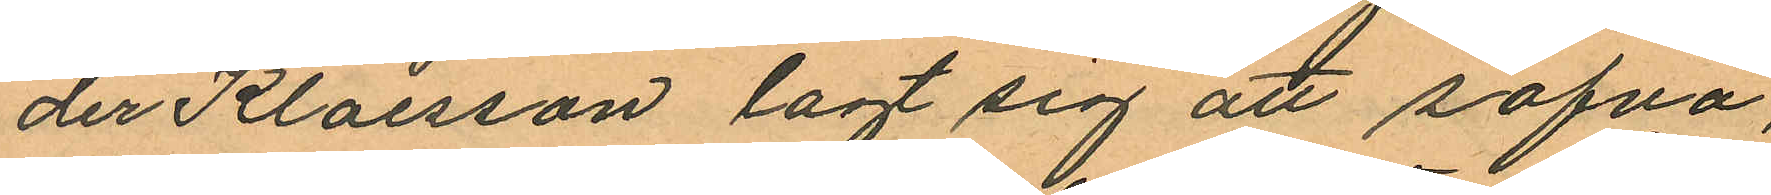der Klaesson lagt sig att sofva,
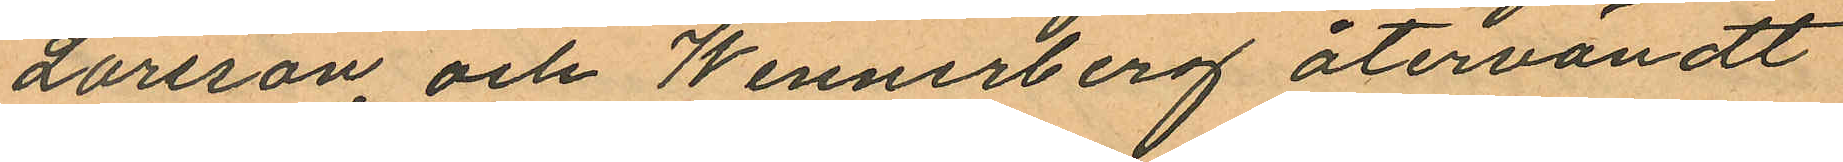Larsson och Wennerberg återvändt
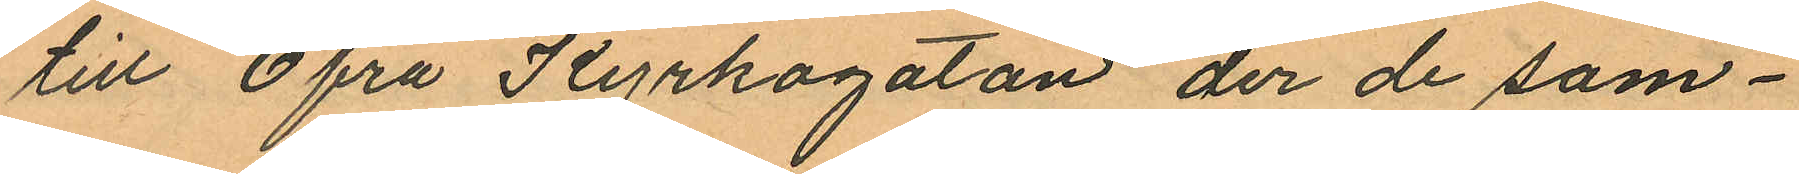till Öfra Kyrkogatan der de sam¬
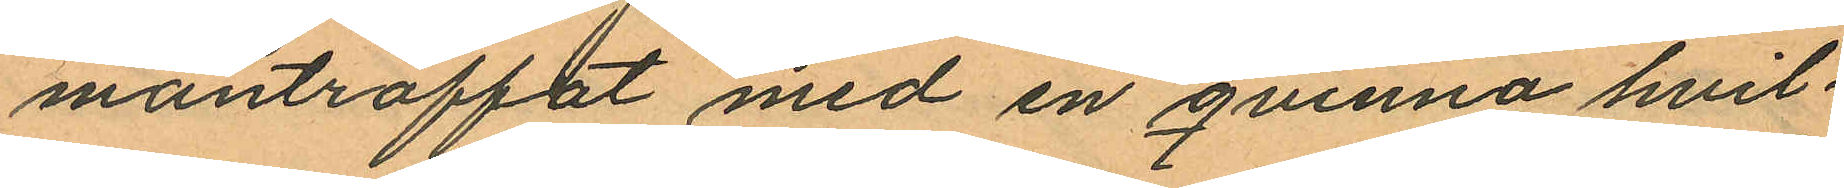manträffat med en qvinna hvil¬
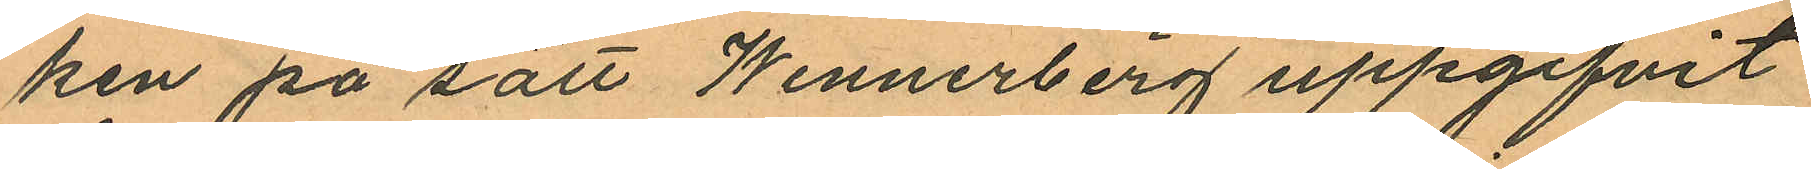ken på sätt Wennerberg uppgifvit
